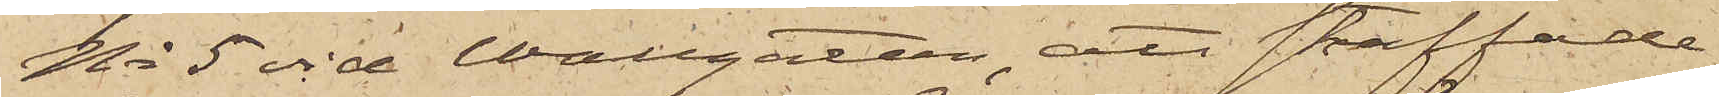No 5 vid Wallgatan, att straffade
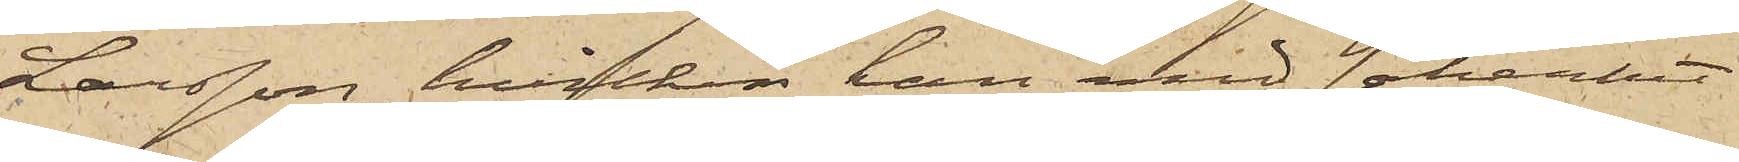Larsson, hvilken han med säkerhet
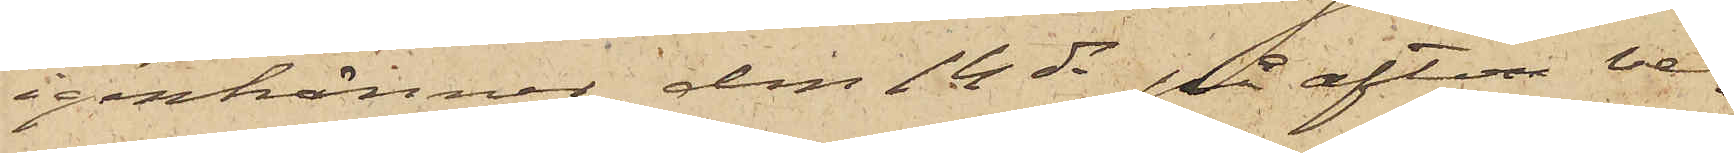igenkänner, den 14 ds på afton ve¬
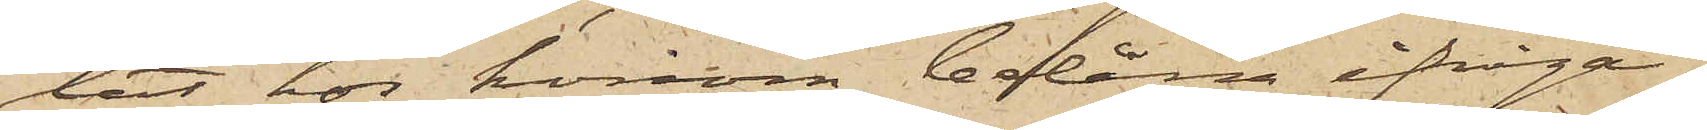lat hos honom belåna ifråga¬
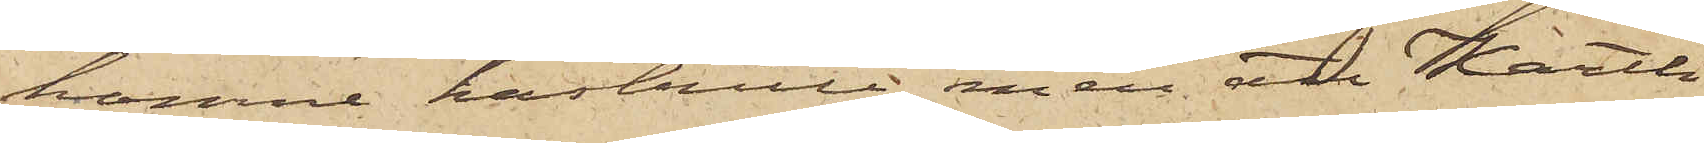komne kastrull, men att Karth
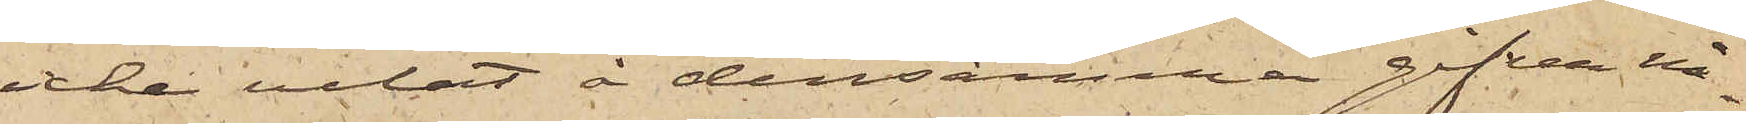icke velat å densamma gifva nå¬
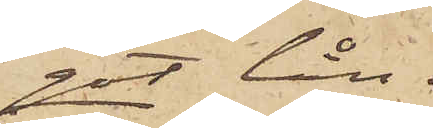got lån.
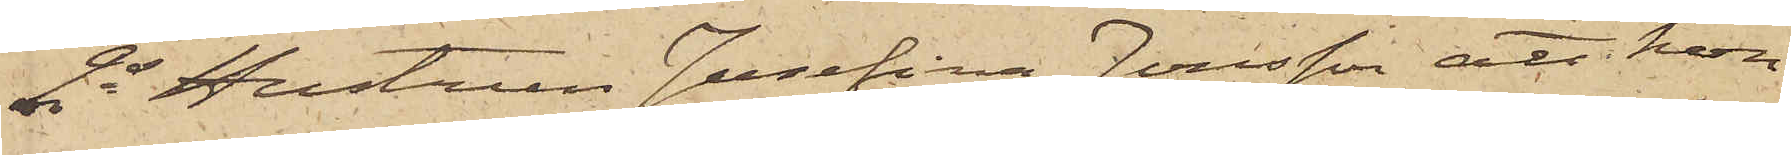2o Hustrun Josefina Jonsson att hon
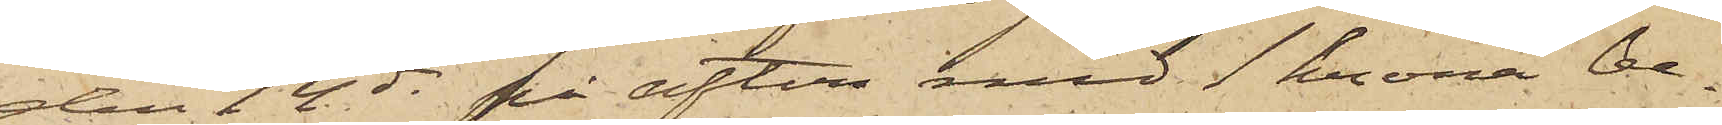den 14 ds på afton med 1 krona be¬
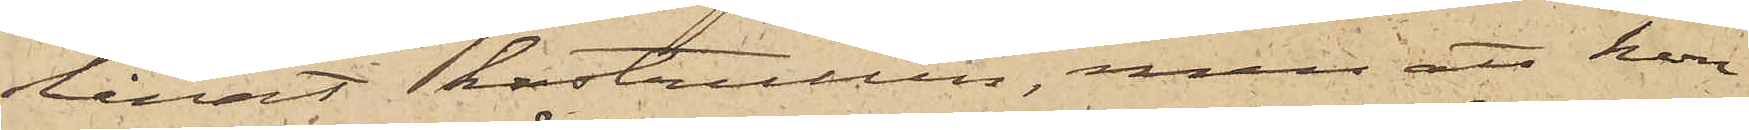lånat kastrullen, men att hon
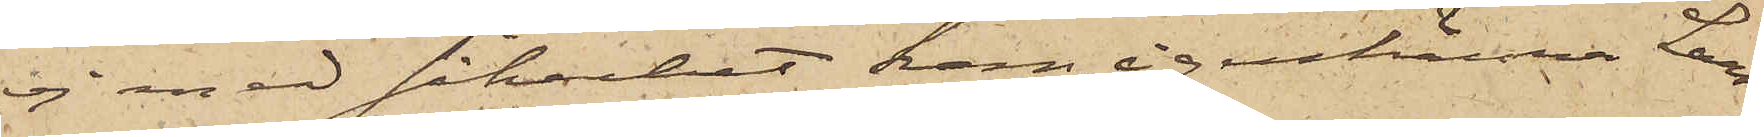ej med säkerhet kan igenkänna Lars¬
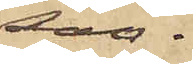son.
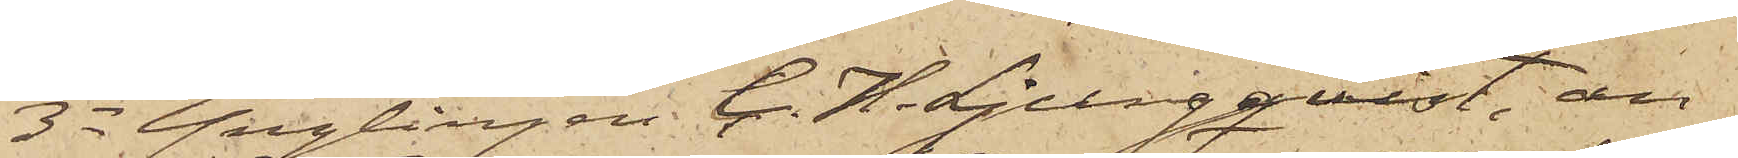3o Ynglingen C. H. Ljungqvist, an¬
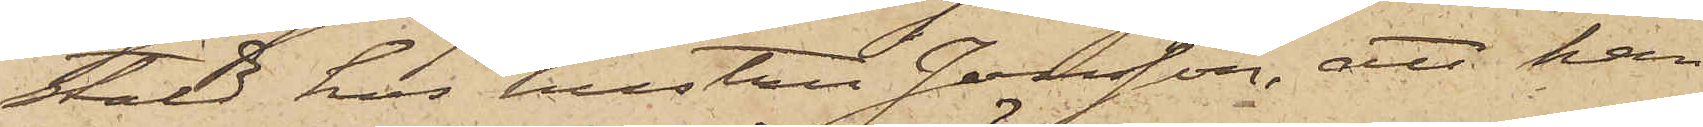stäld hos hustru Jonsson, att han
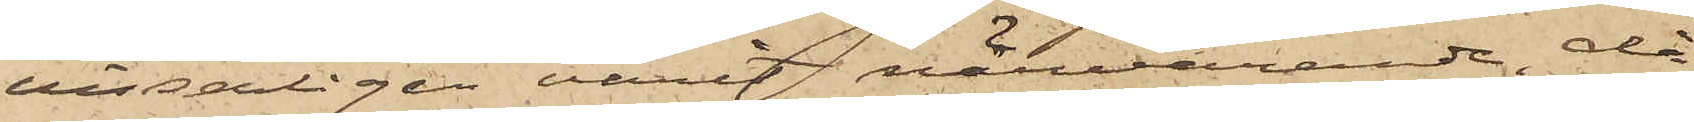visserligen varit närvarande, då
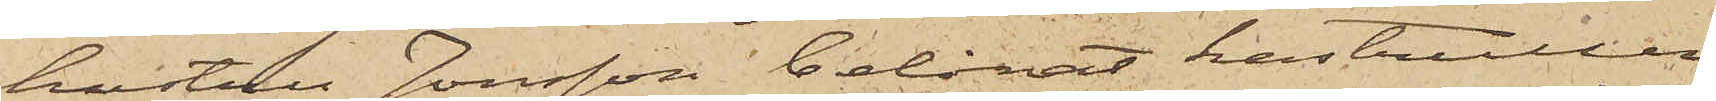hustru Jonsson belånat kastrullen
